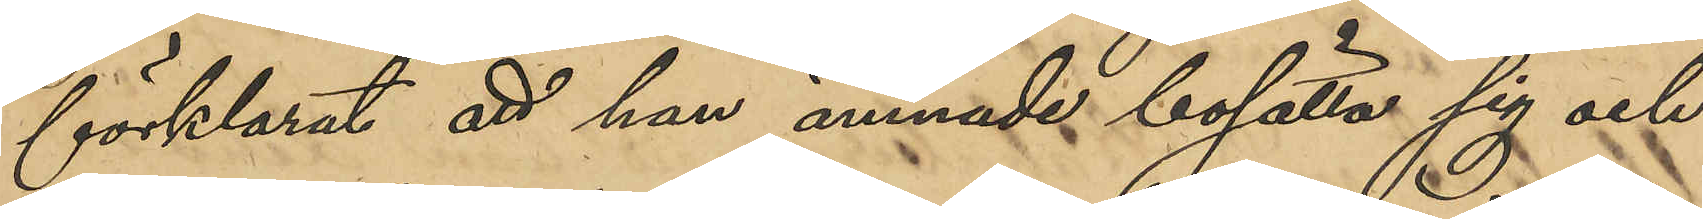förklarat att han ämnade bosätta sig och
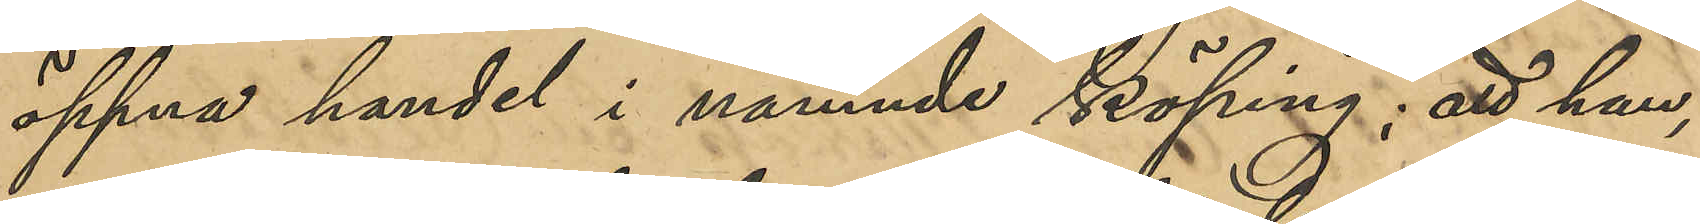öppna handel i nämnde Köping; att han,
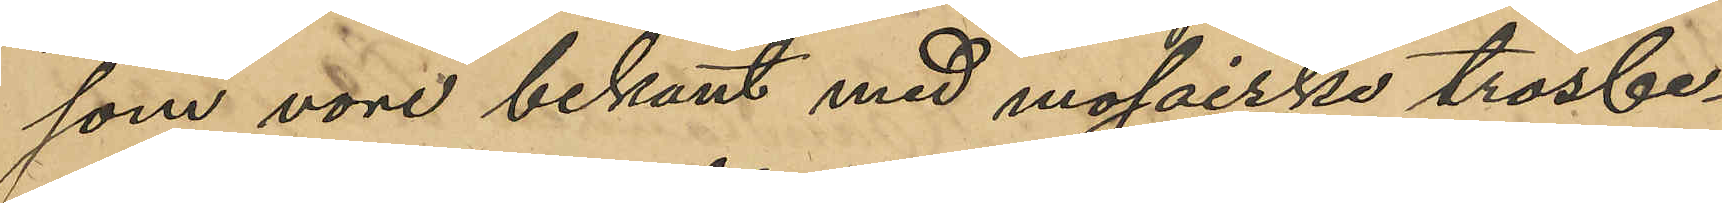som vore bekant med mosaiske trosbe¬
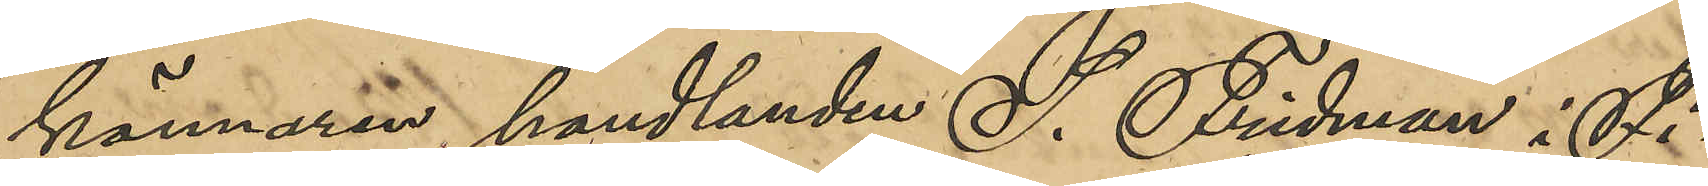kännanren handlanden S. Fridman i Fi¬
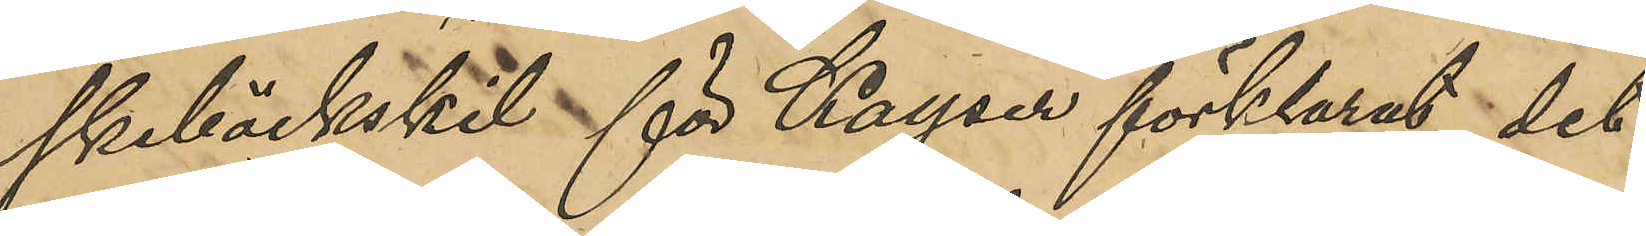skebäckskil för Kayser förklarat det
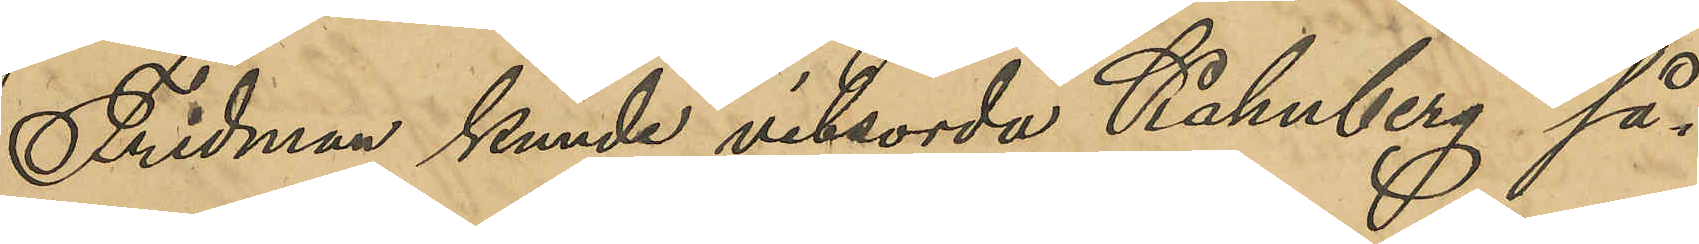Fridman kunde vitsorda Kahnberg så¬
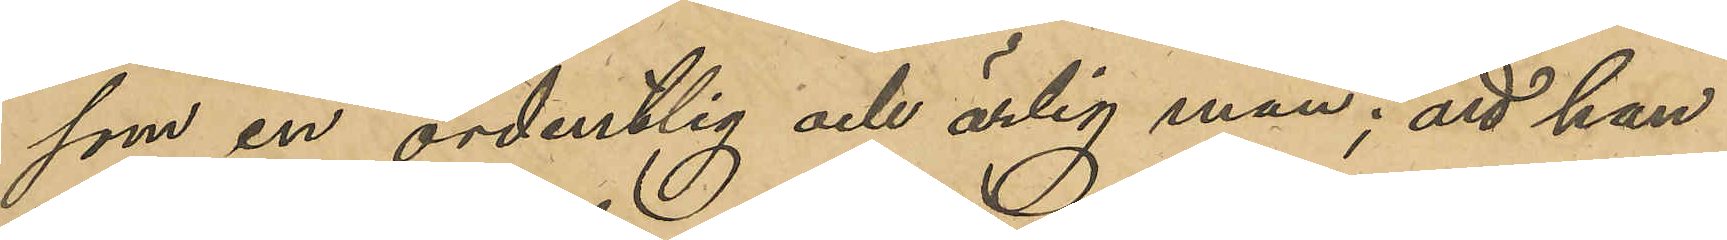som en ordentlig och ärlig man; att han
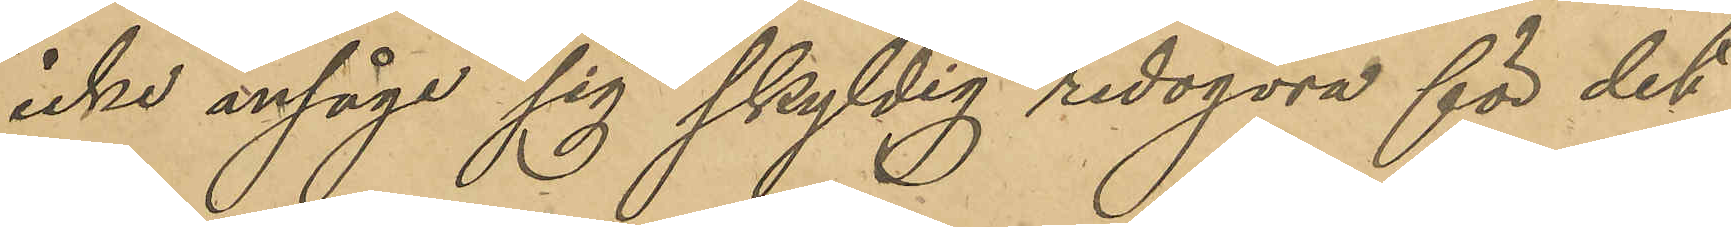icke ansåge sig skyldig redogöra för det
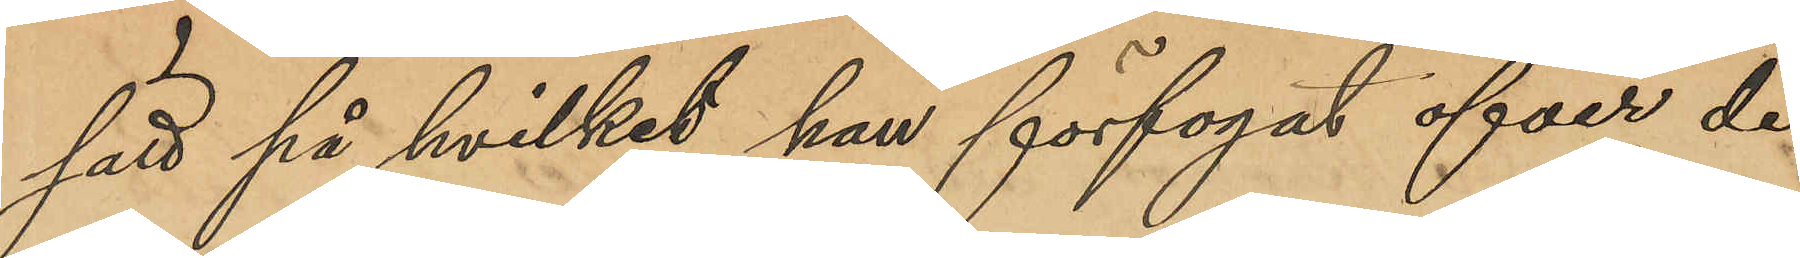sätt på hvilket han förfogat öfver det
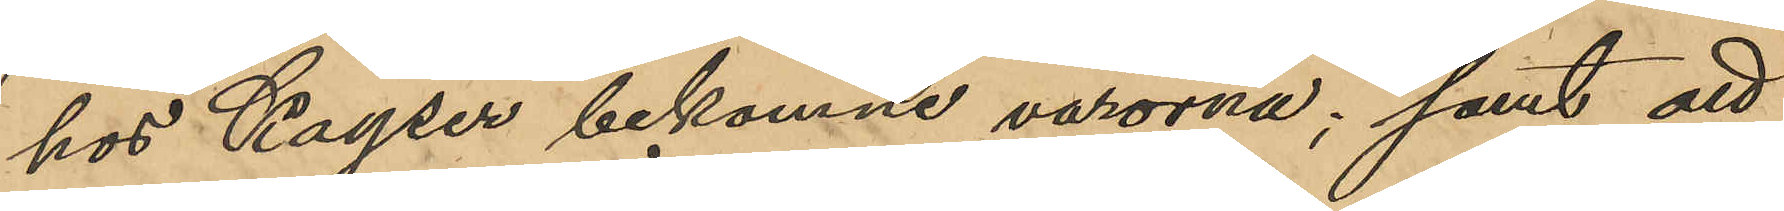hos Kayser bekomne varorna; samt att
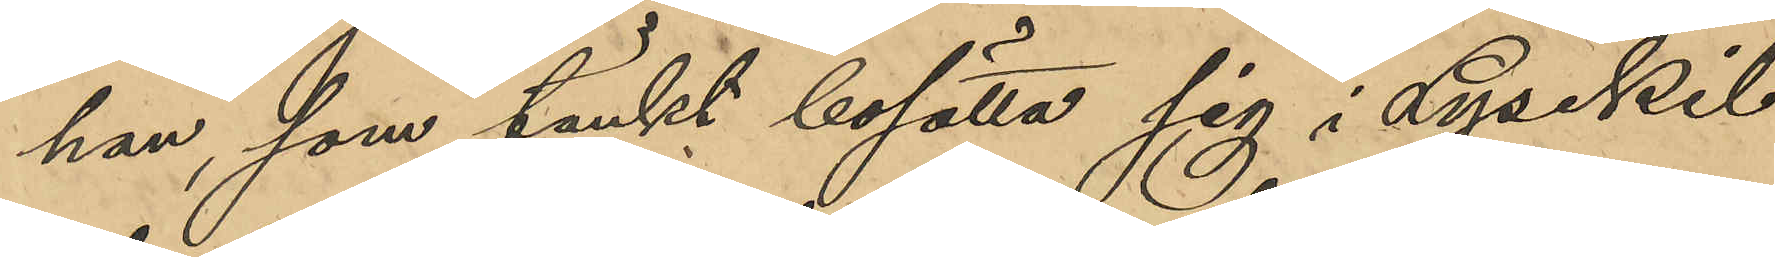han, som tänkt bosätta sig i Lysekil
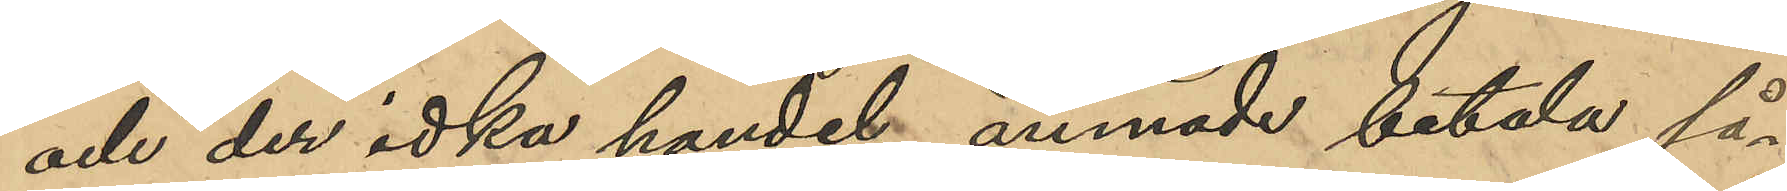och der idka handel ämnade betala så¬
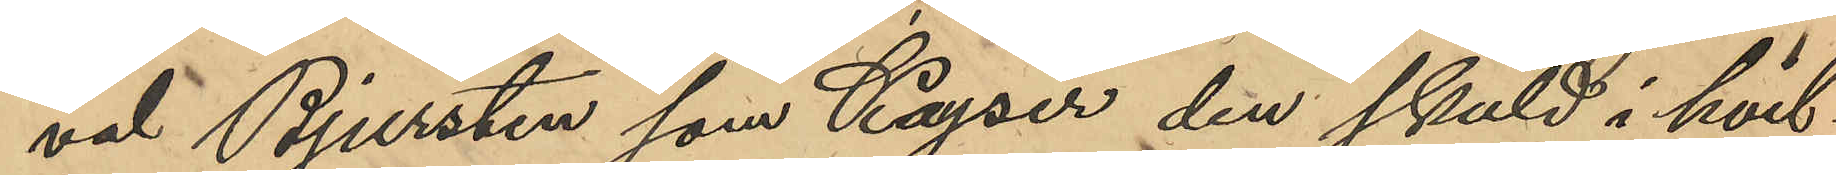väl Bjursten som Kayser den skuld i hvil¬
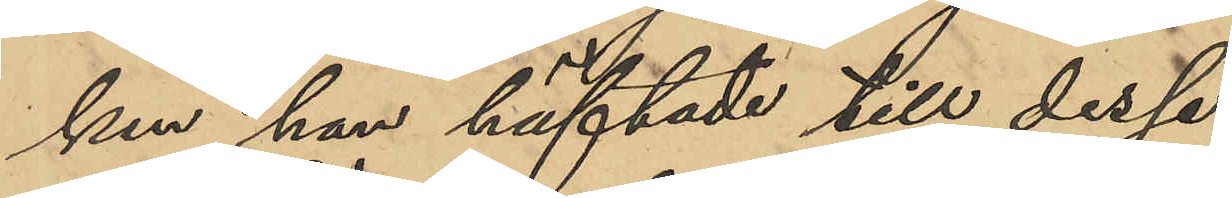ken han häftade till desse.
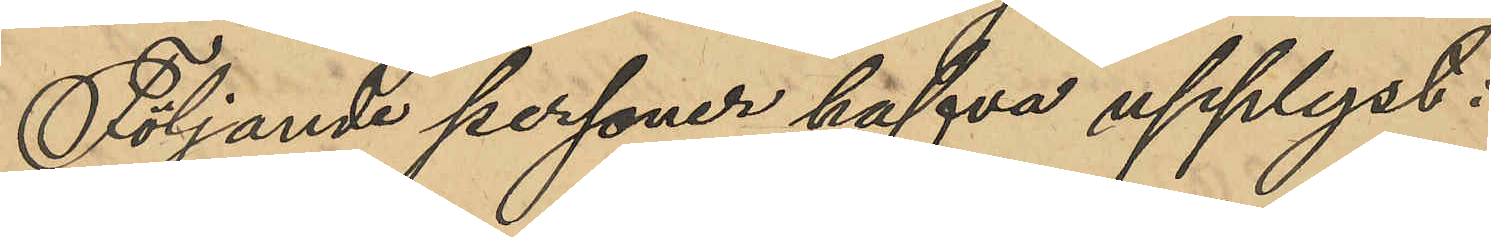Följande personer hafva upplyst:
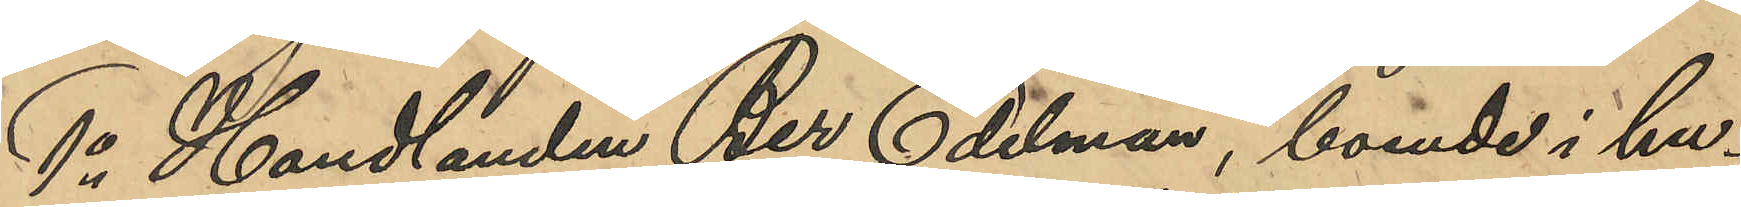1o Handlanden Ber Edelman, boende i hu¬
